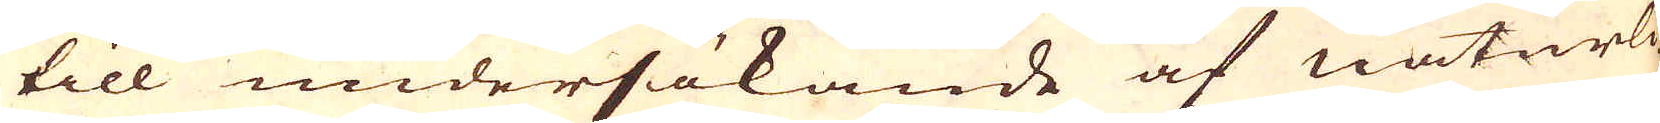till undersökande af naturli-
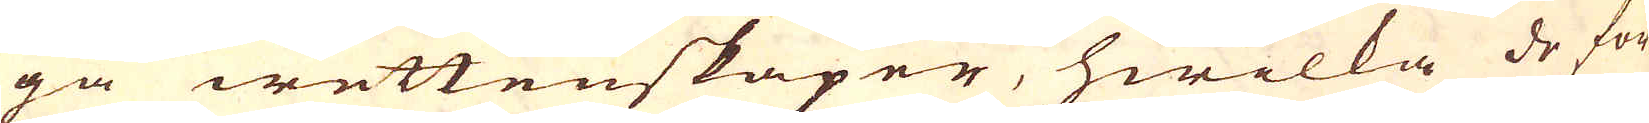ga wettenskaper, hwilka de för-
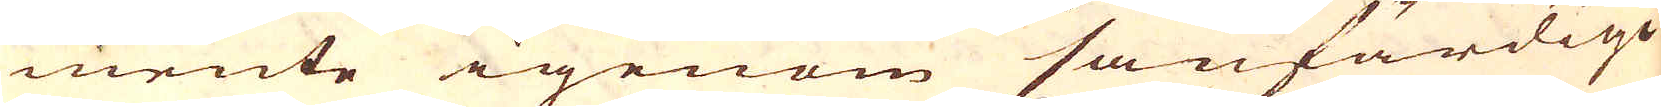mente igenom sanfärdige
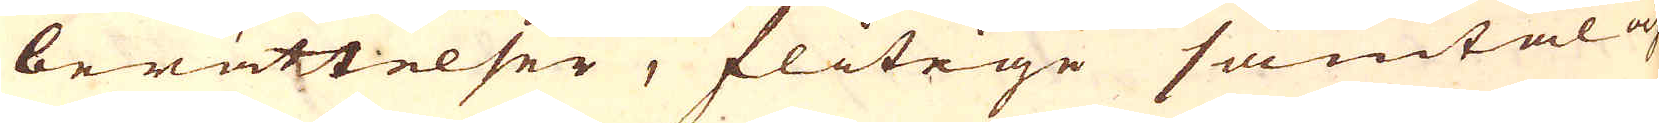berättelser, flitige samtal och
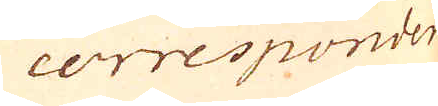corresponden
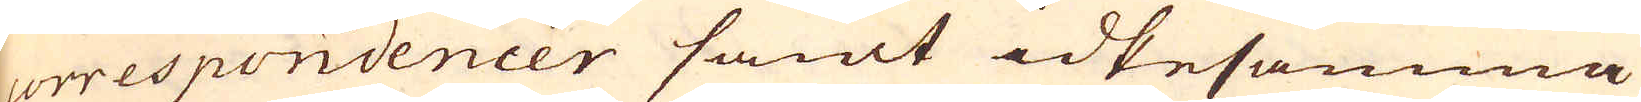correspondencer samt idkesamma
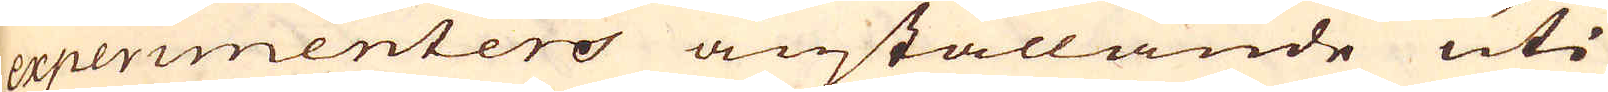experimenters anställande uti
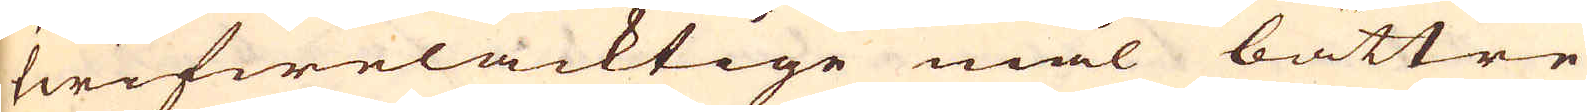twifwelacktige mål bättre
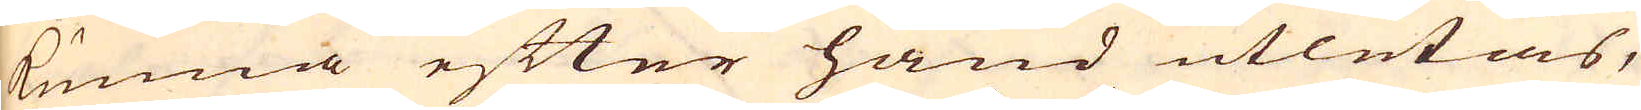kunna efter hand utletas,
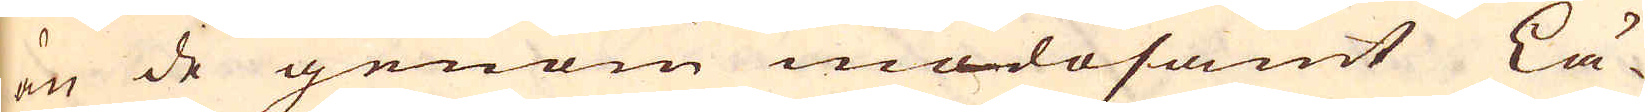än de genom mödosamt Lä-
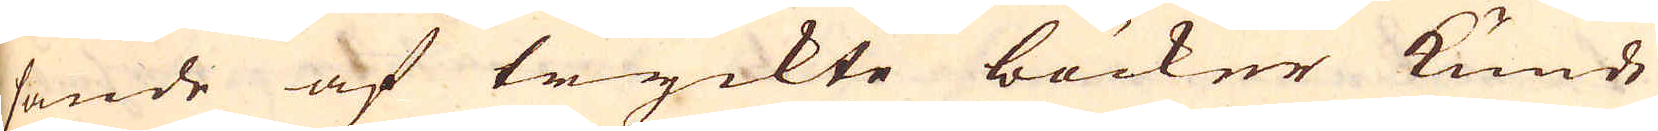sande af tryckte böcker kunde
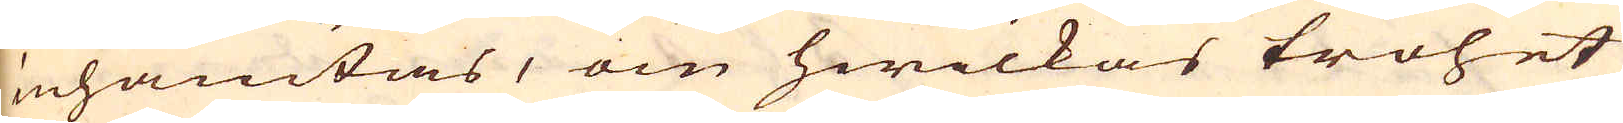inhämtas, om hwilkas trohet
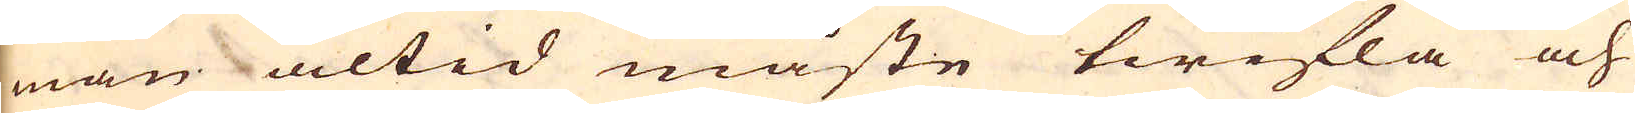man altid måste twifla och
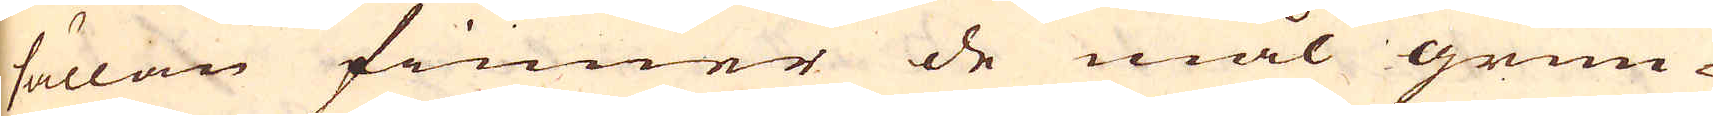sällan finner de mål grun-
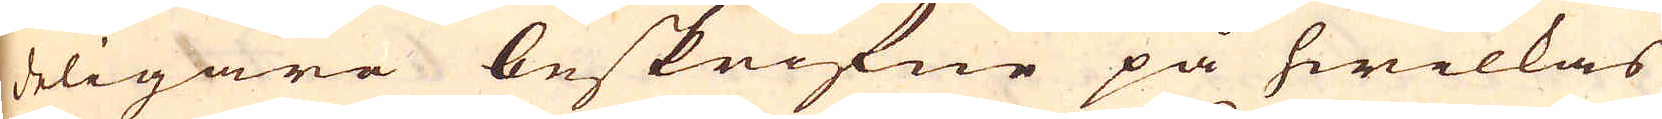deligare beskrifne på hwilkas
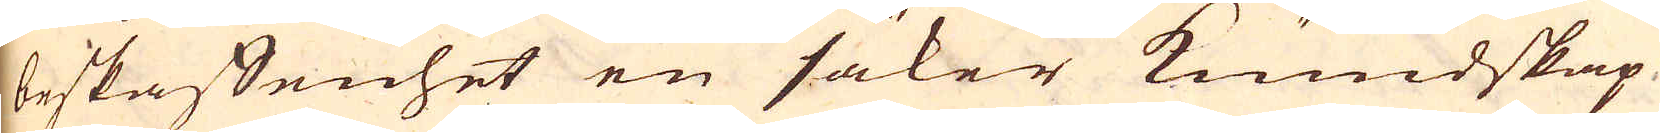beskaffenhet en säker kundskap
